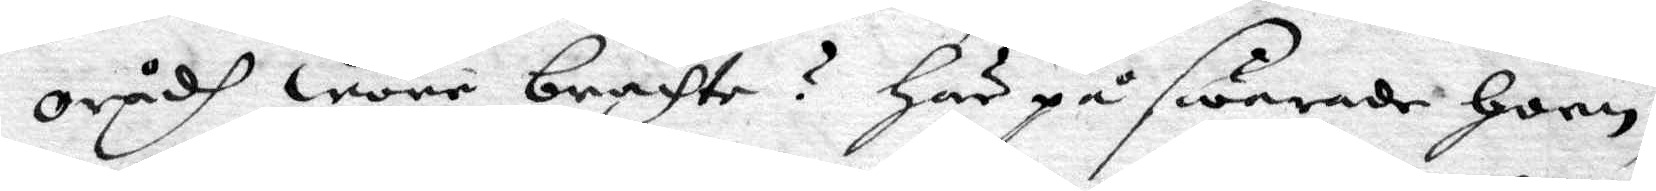orådh wore brachte? här på swarade honn,
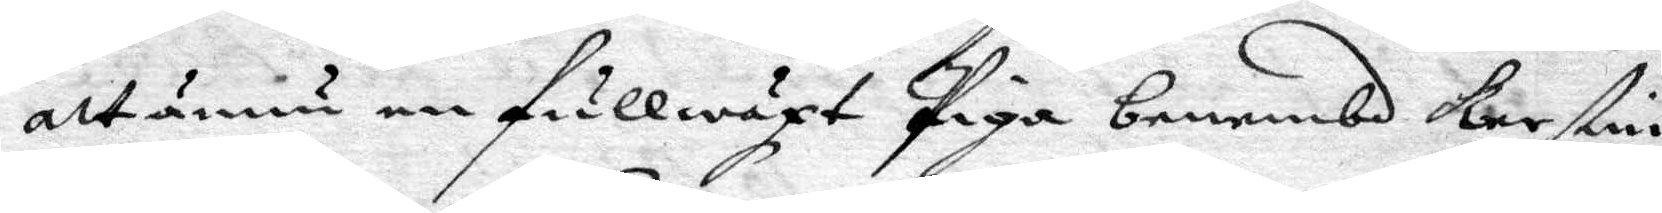att ännu en fullwäxt Piga benembd Kerstin
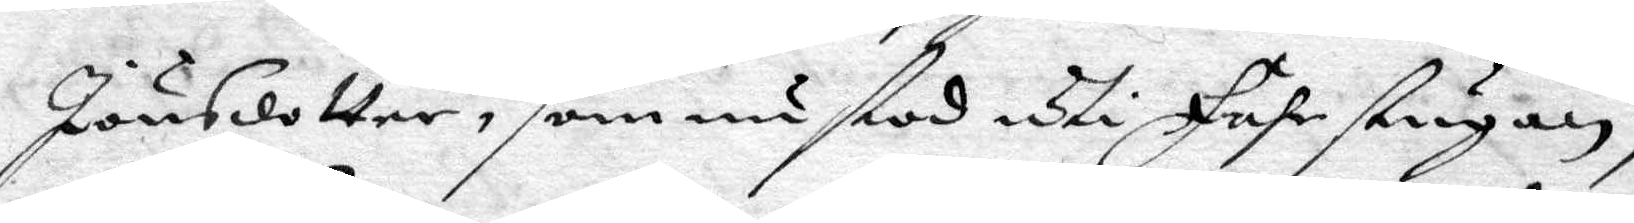Jönsdotter, som nu stod uthi Föhrstugan,
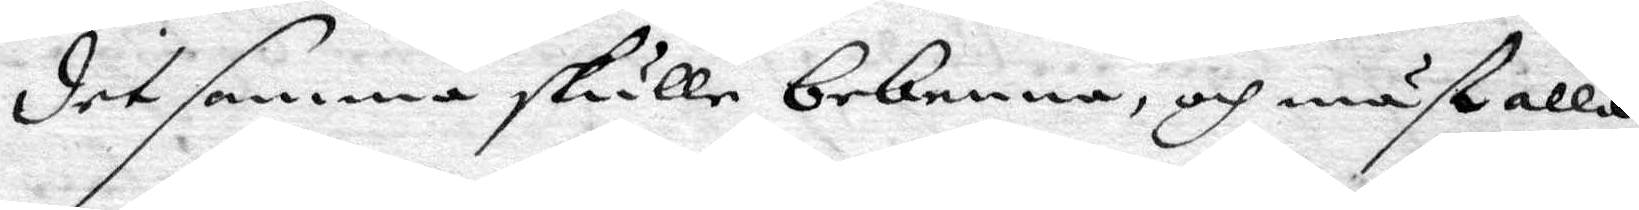detsamma skulle bekenna, och måst alla
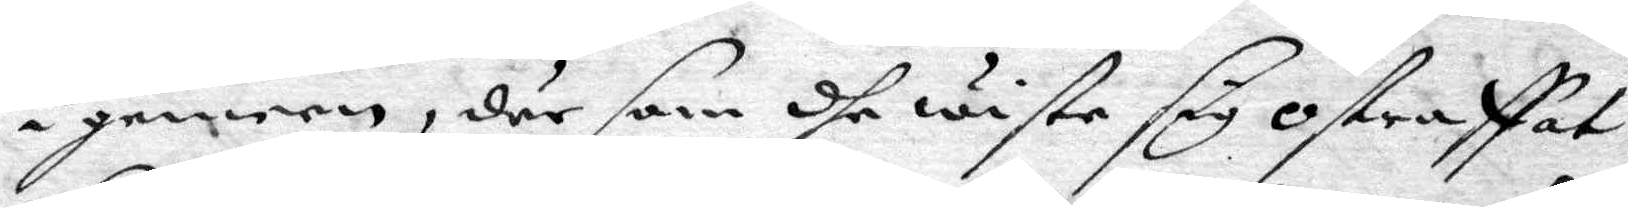i gemeen, där som dhe wiste sig ostraffat
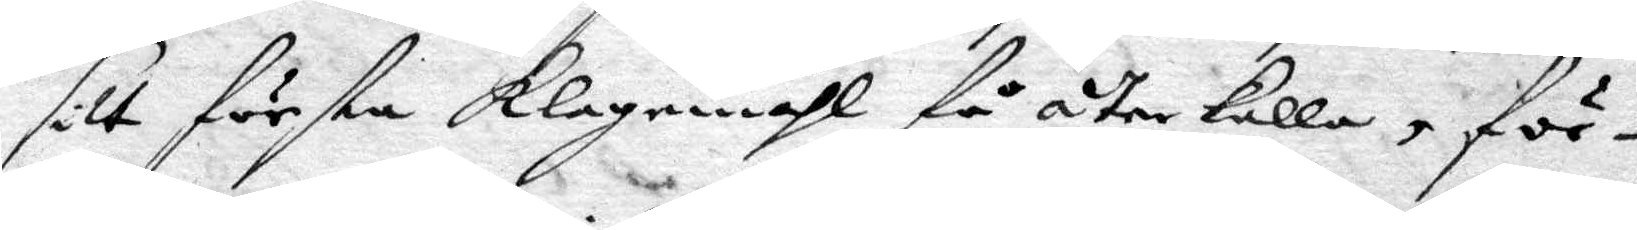sitt första klagomåhl få återkalla, för¬
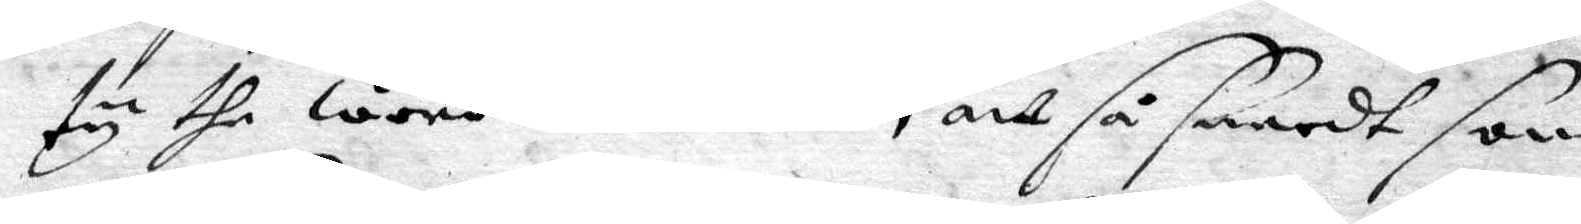ty dhe wore inbillade, att så snardt som
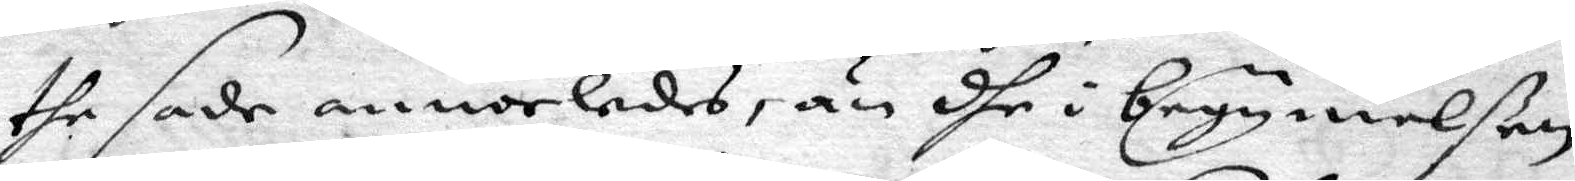the sade annorledes, än dhe i begynnelßen
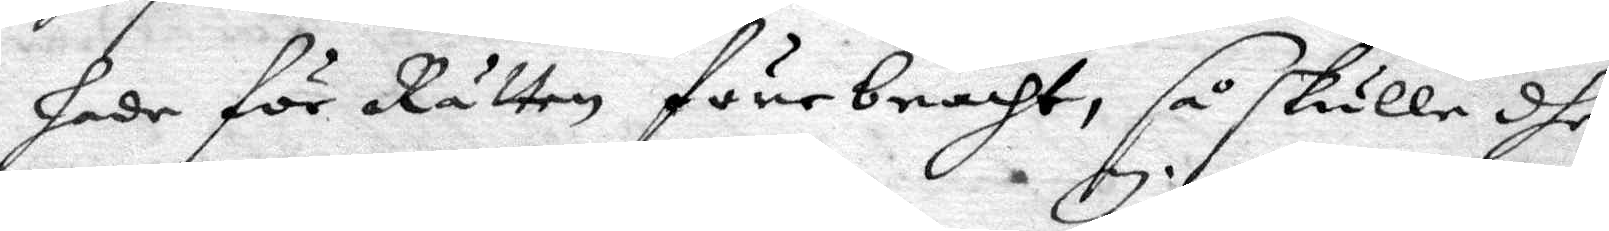hade för Rätten förebracht, så skulle dhe
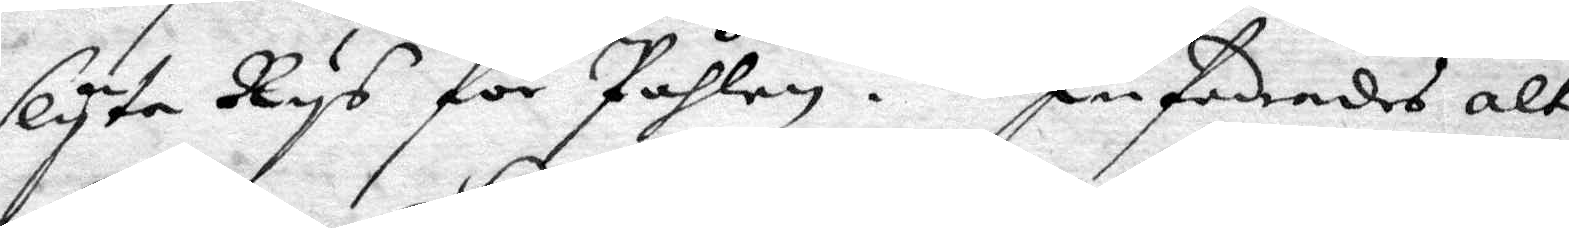slyta Rys för Påhlem. Infodrades alt¬
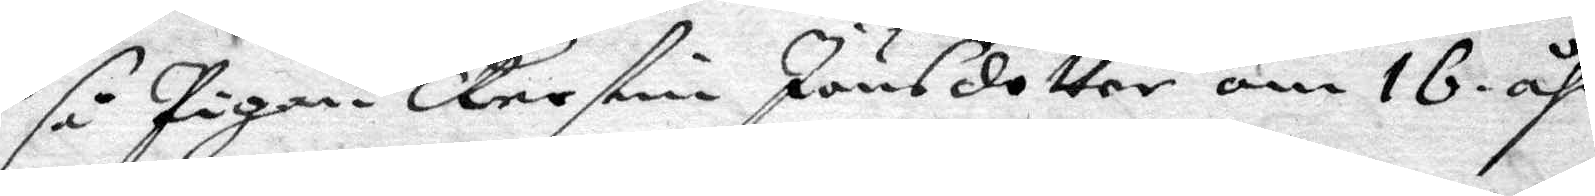så Pigan Kerstin Jönsdotter om 16 åhr,
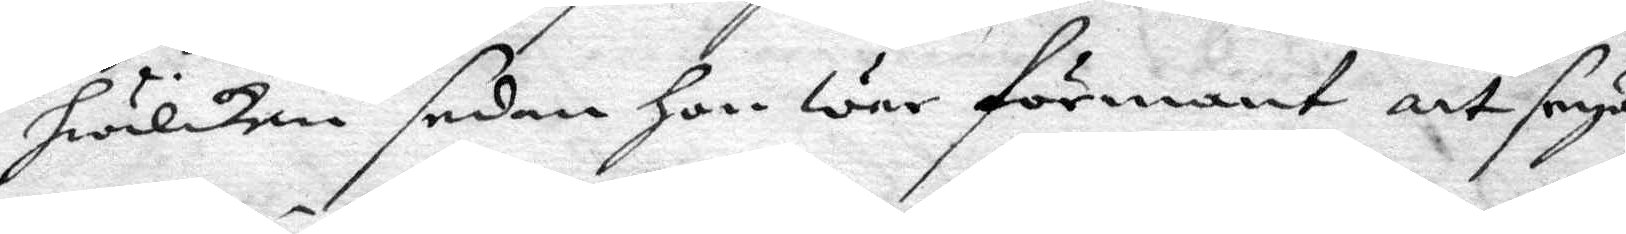hwilken sedan hon war förmant att seya
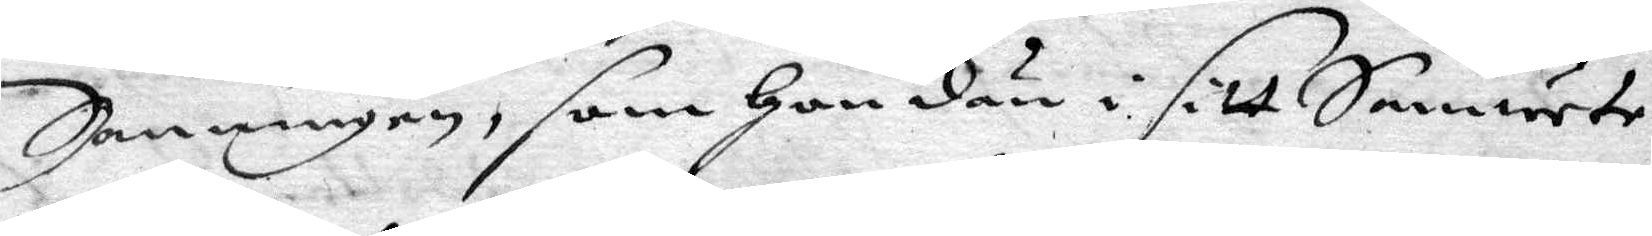Sanningen, som hon dän i sitt Samwete
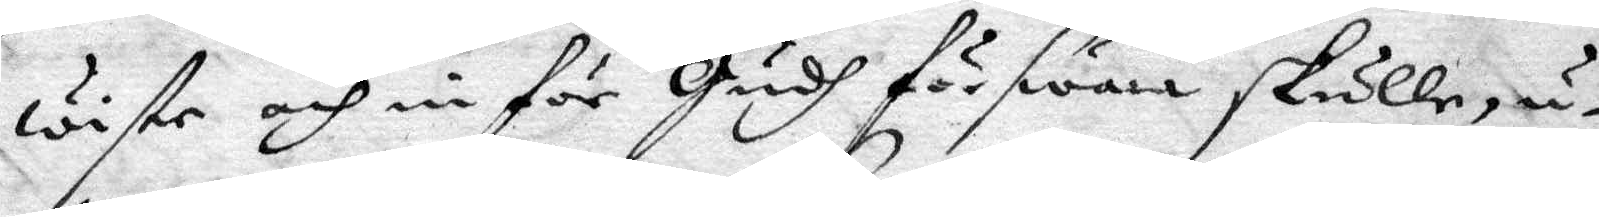wiste och in för Gudh förswara skulle, u¬
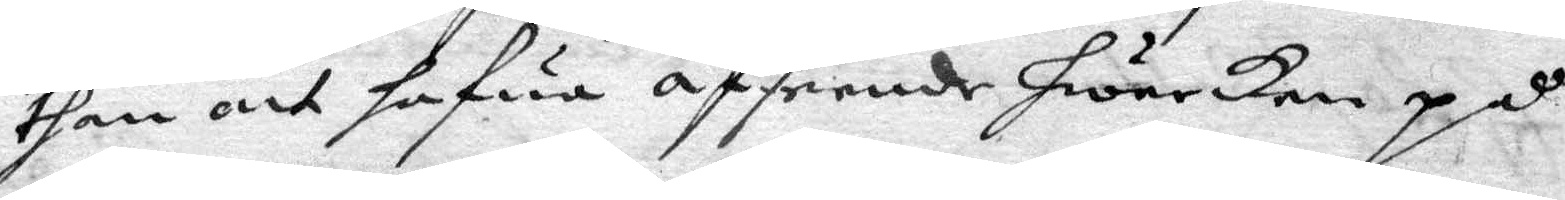than ont hafwa afseende hwarken på
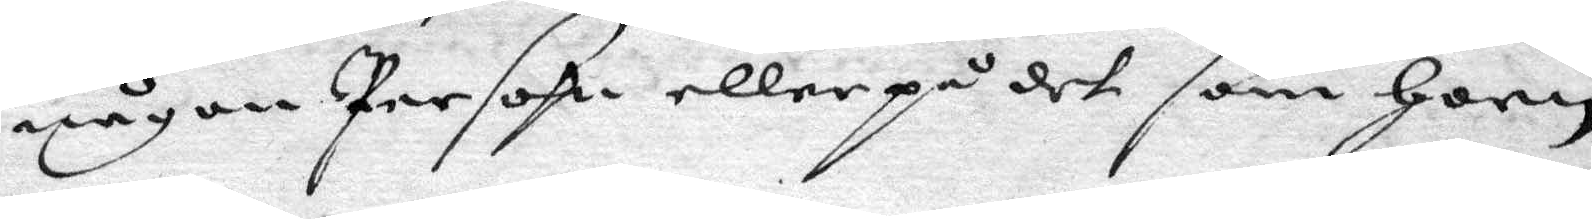någon Person eller på det som honn
